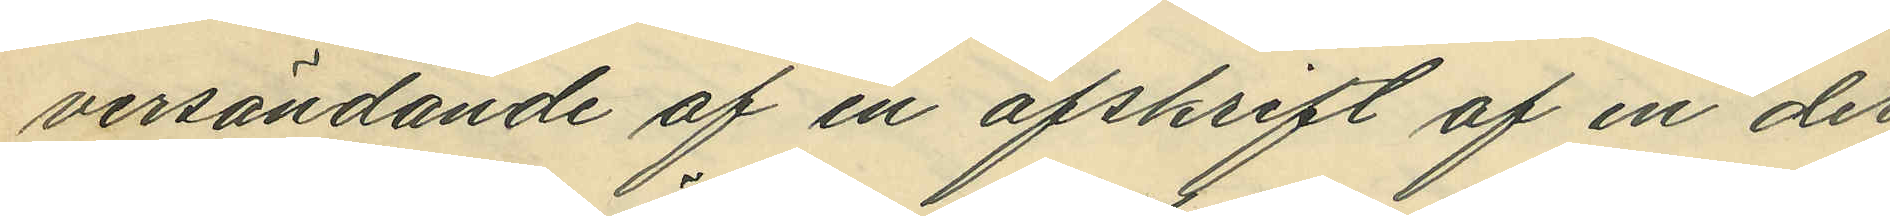versändande af en afskrift af en der
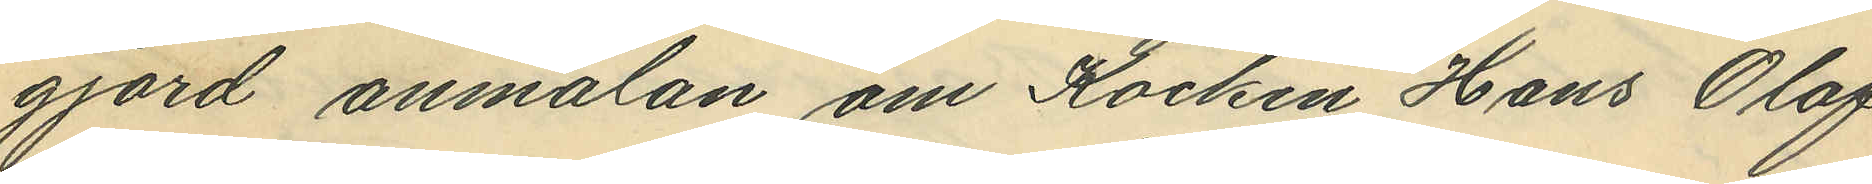gjord anmälan, om Kocken Hans Olof
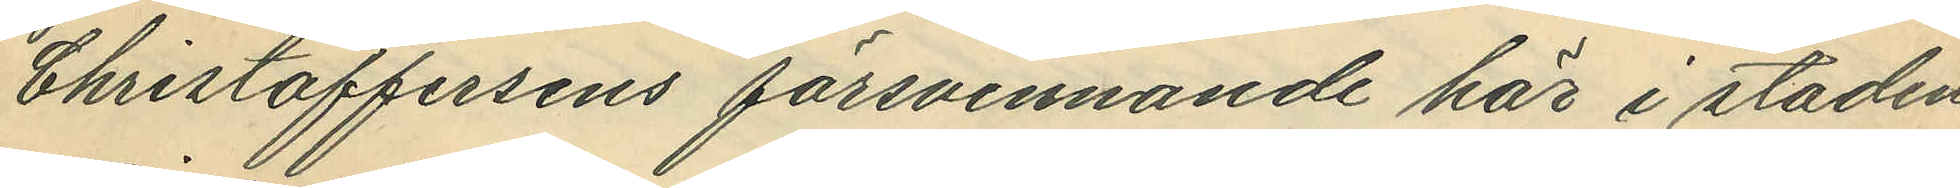Christoffersens försvinnande här i staden
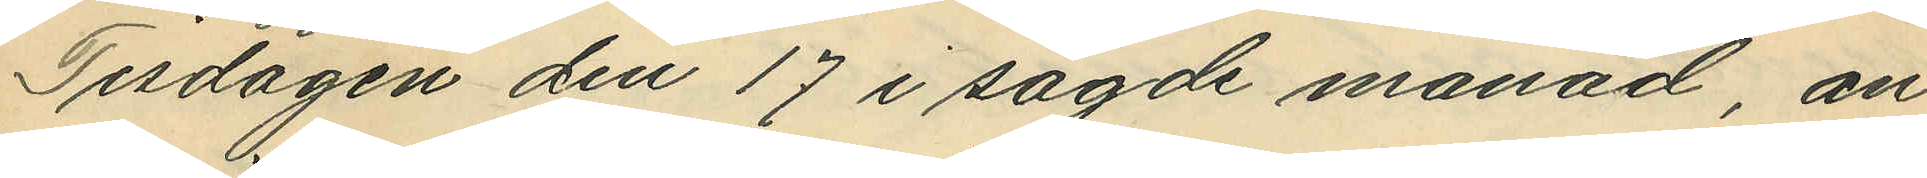Tisdagen den 17 i sagde månad, an¬
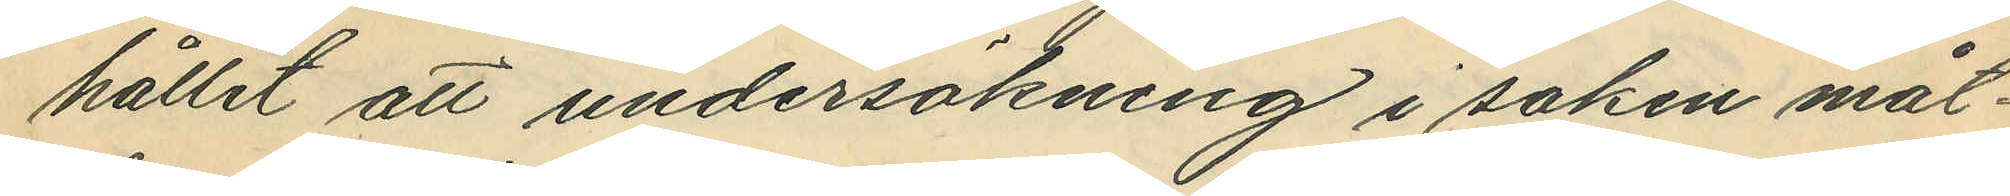hållit att undersökning i saken måt¬
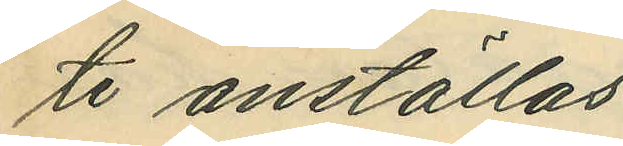te anställas.
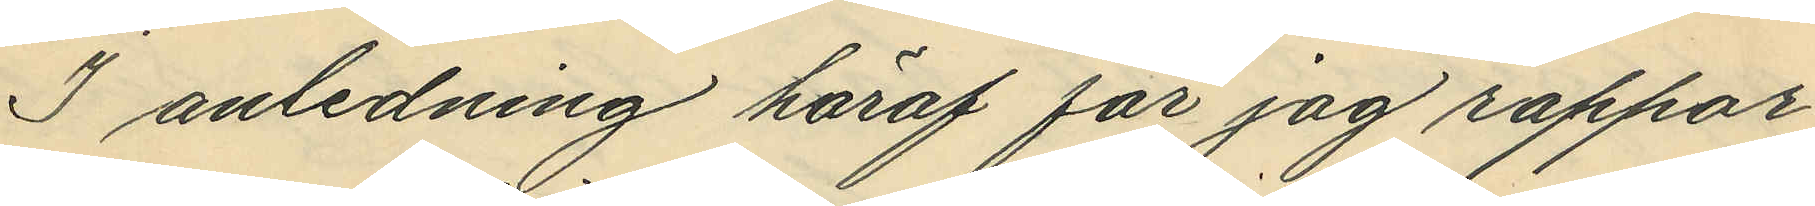I anledning häraf får jag rappo¬
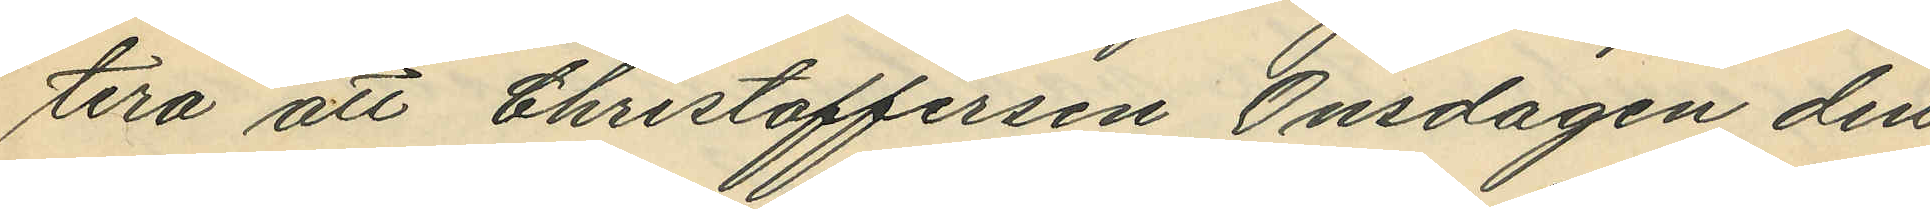tera att Christoffersen Onsdagen den
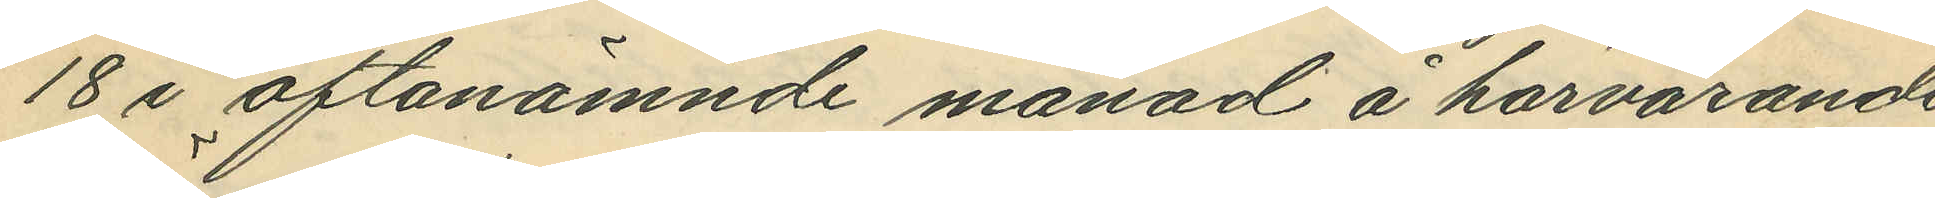18 i oftanämnde månad å härvarande
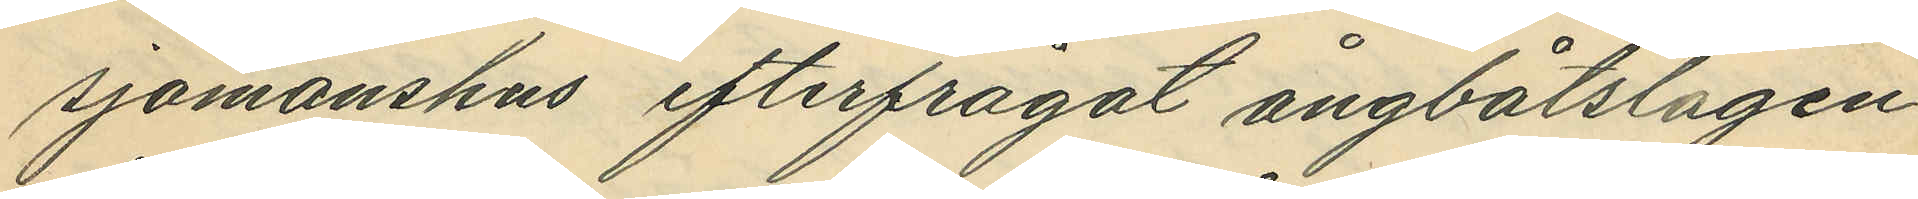sjömanshus efterfrågat ångbåtslägen¬
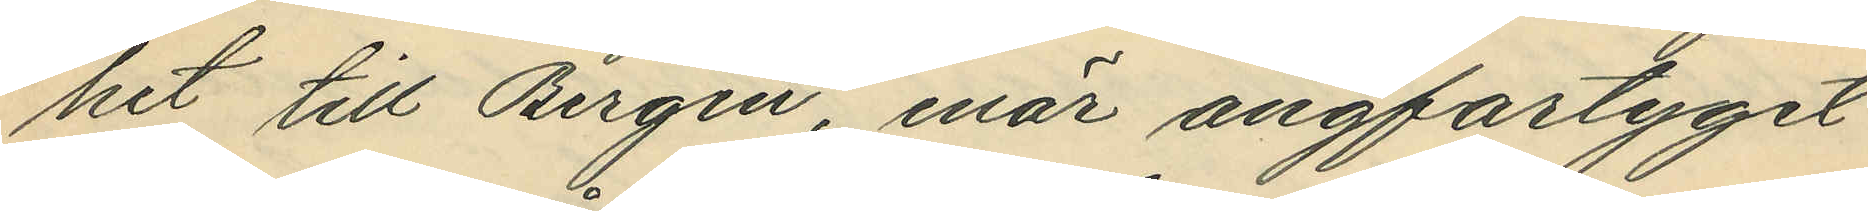het till Bergen, enär ångfartyget
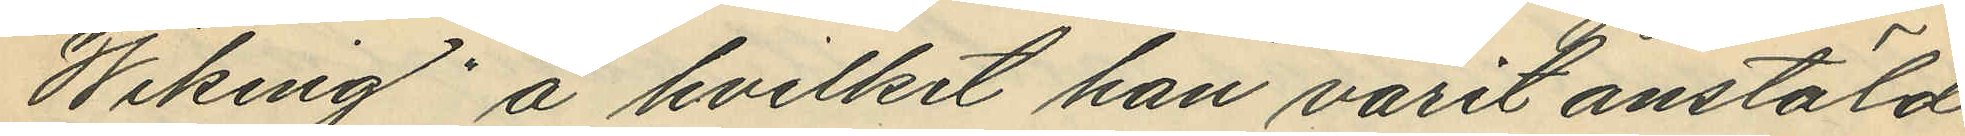"Wiking" å hvilket han varit anstäld
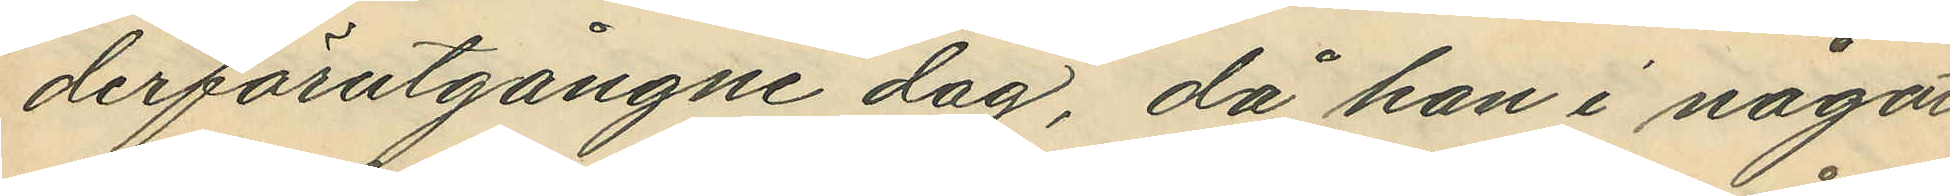derförutgångne dag, då han i något
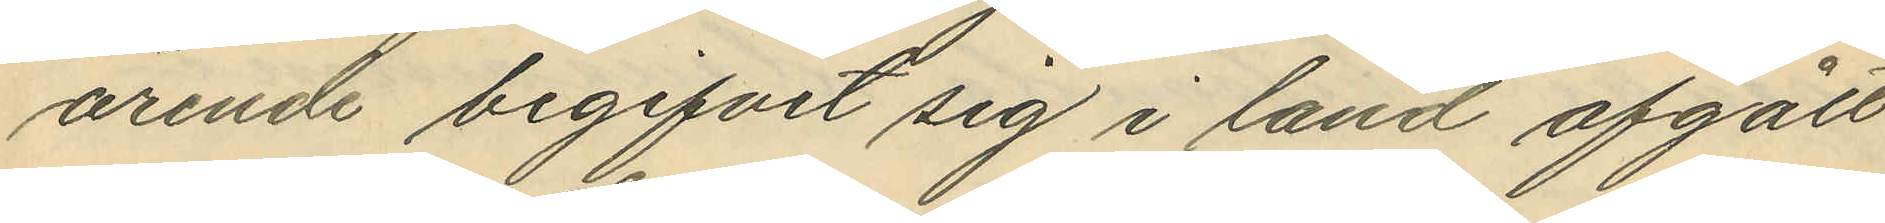ärende begifvit sig i land afgått
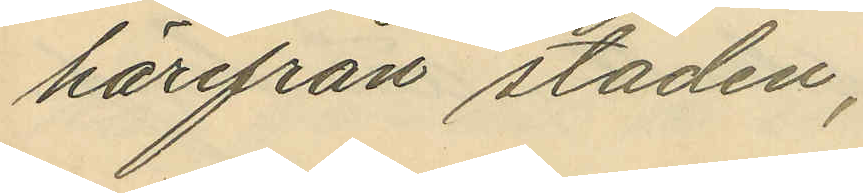härifrån staden;
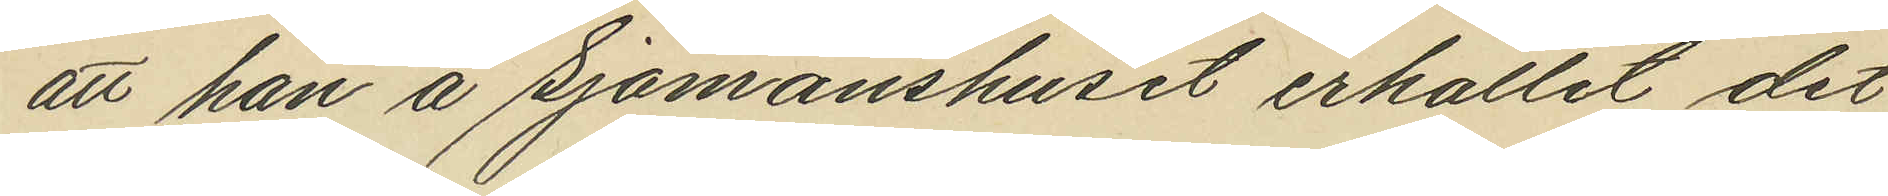att han å sjömanshuset erhållit det
